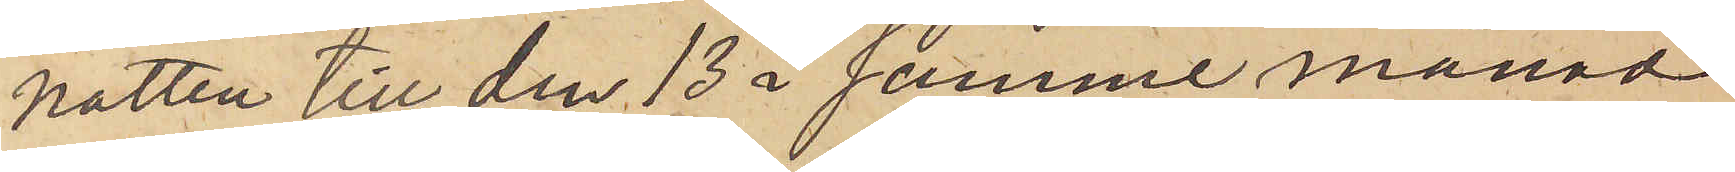natten till den 13 i samme månad
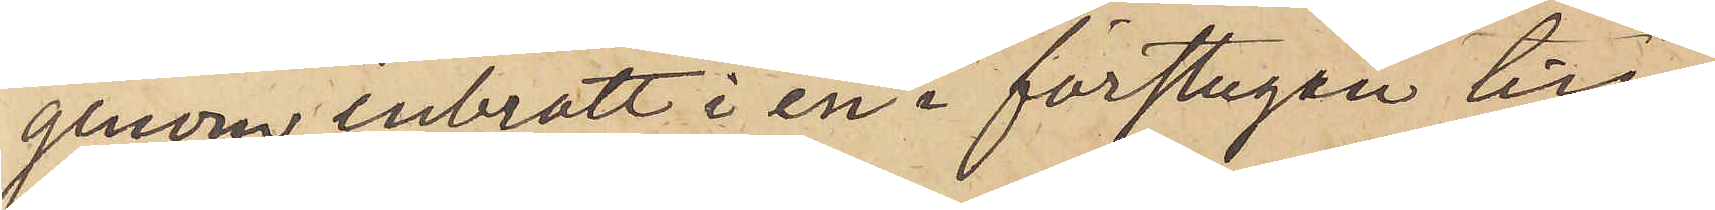genom inbrott i en i förstugan till
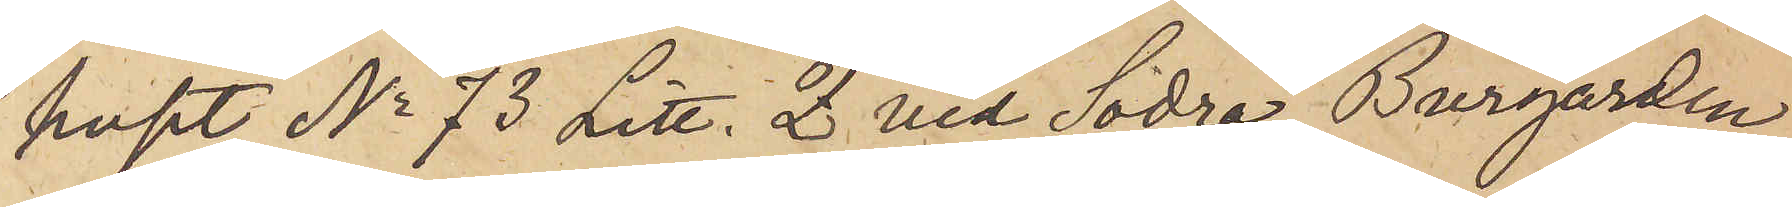huset No 73 Litt. Z vid Södra Burgården
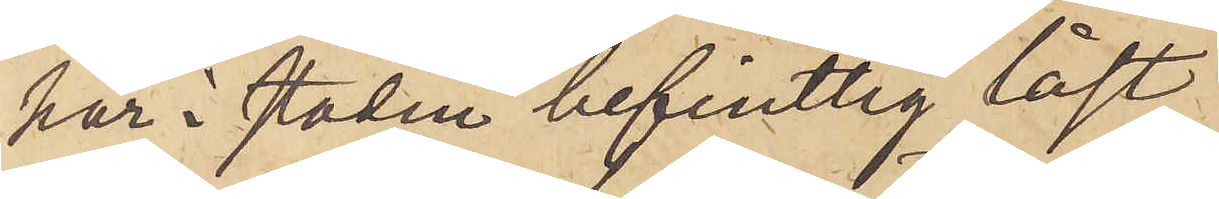här i staden befintlig låst
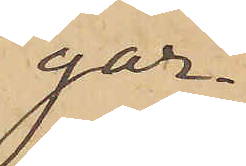gar¬
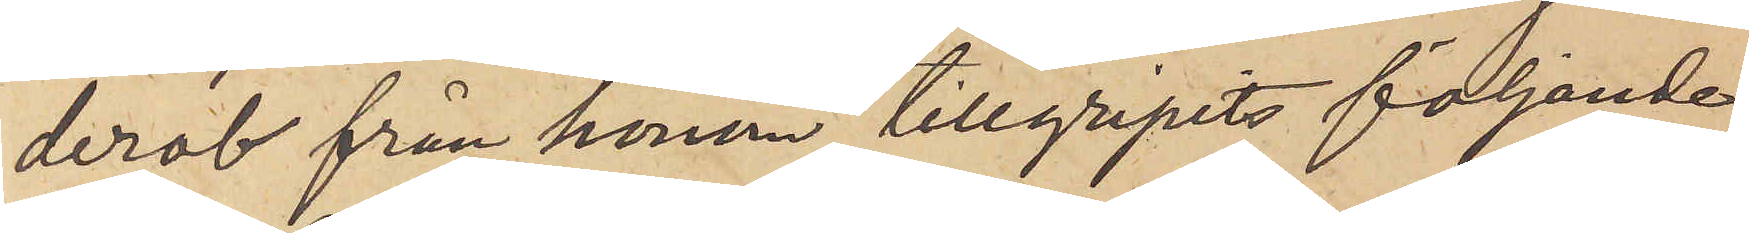derob från honom tillgripits följande
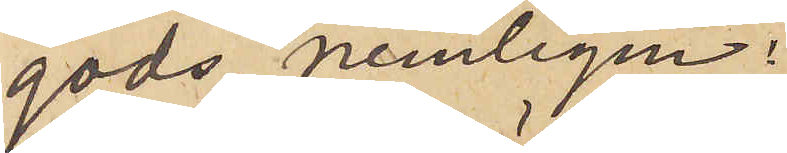gods nemligen:
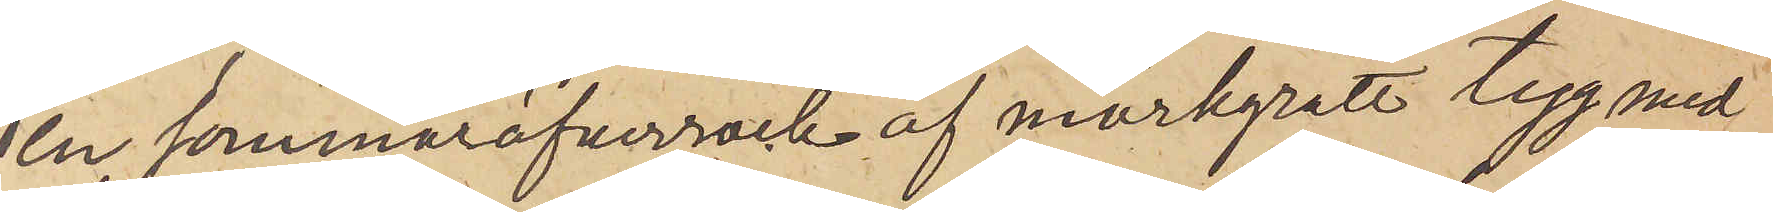en sommaröfverrock af mörkgrått tyg med
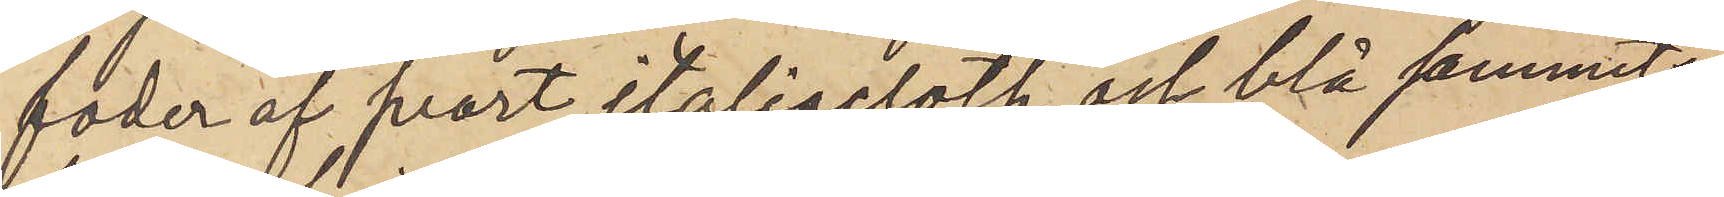foder af svart italiacloth och blå sammets¬
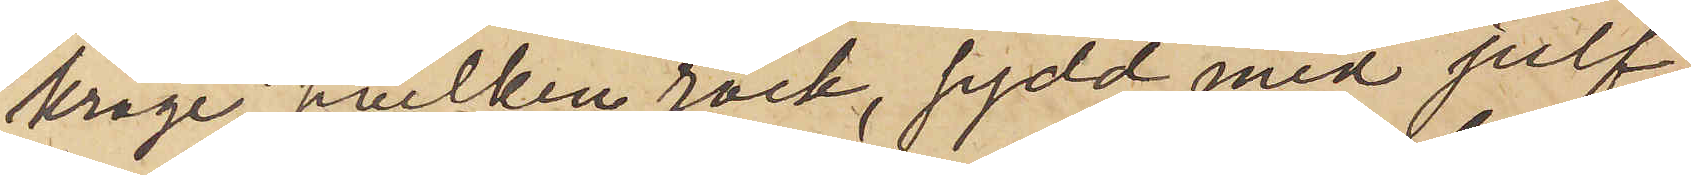krage, hvilken rock, sydd med julf,
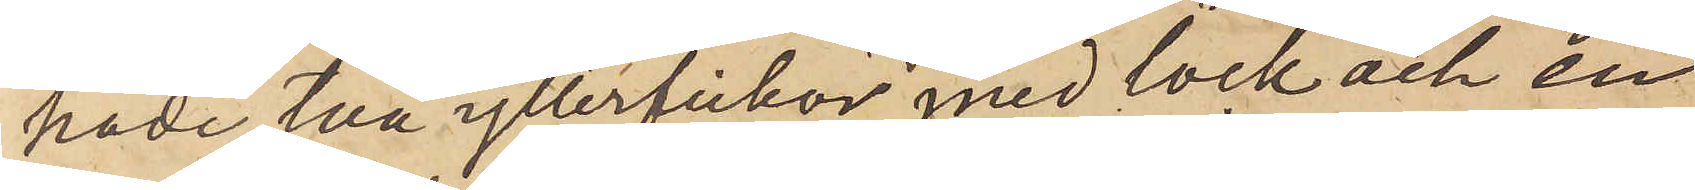hade två ytterfickor med lock och en
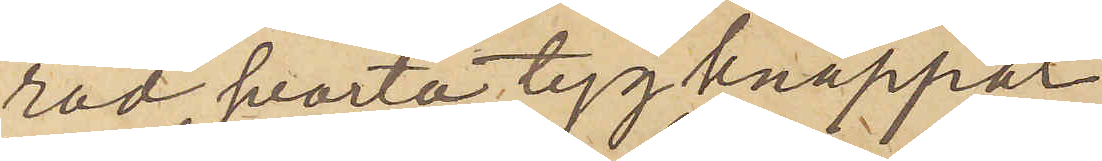rad svarta tygknappar
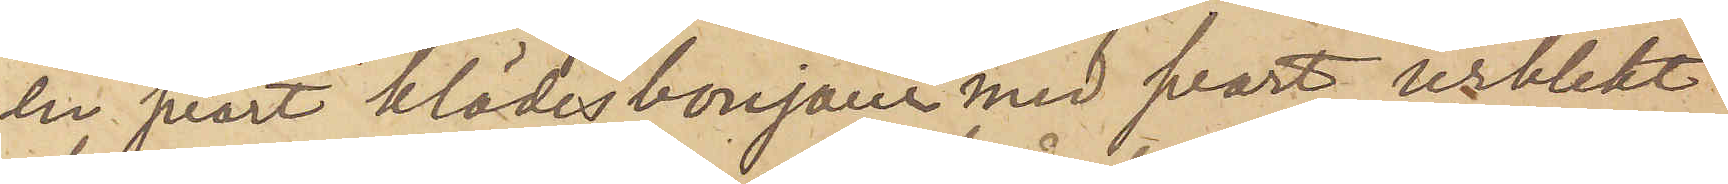en svart klädesbonjour med svart urblekt
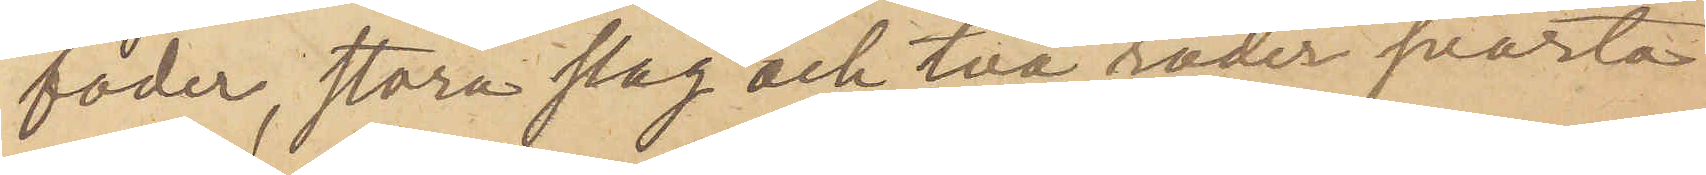foder, stora slag och två rader svarta
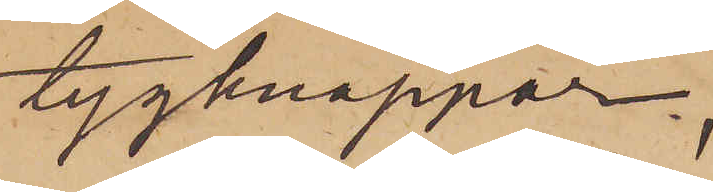tygknappar;
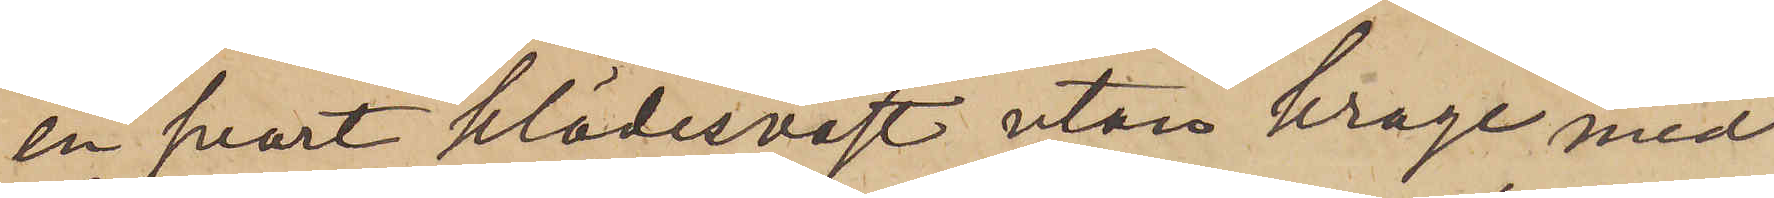en svart klädesväst utan krage med
